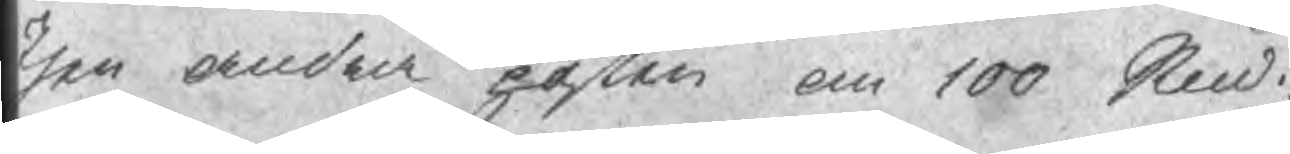Then andra posten om 100 Sud
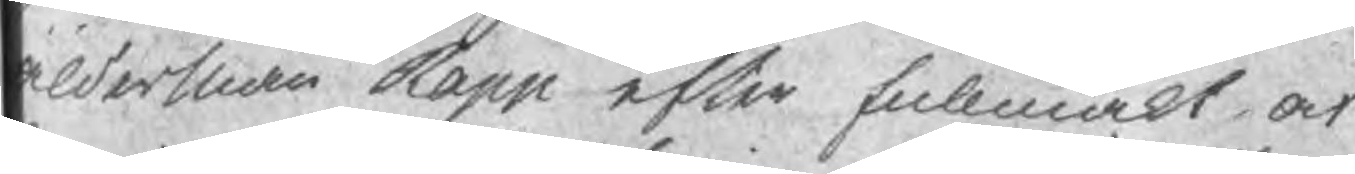Alderman Rapp efter fullmakt af
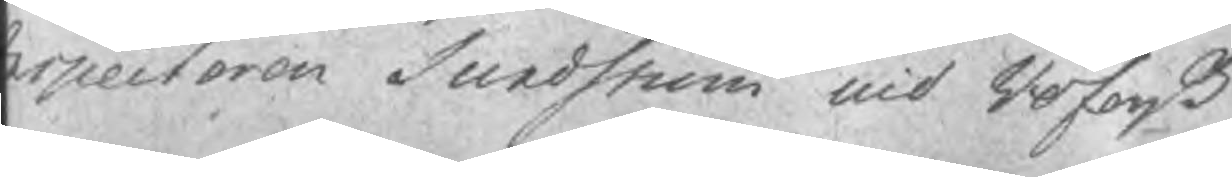spectoren Sundström uid Röfors B
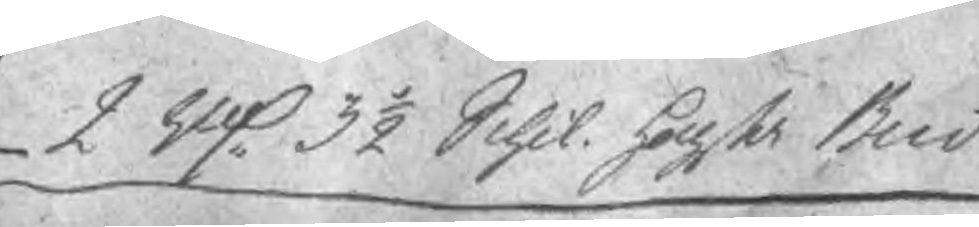2 Rd 3 ½ Schil. hogsta Bud
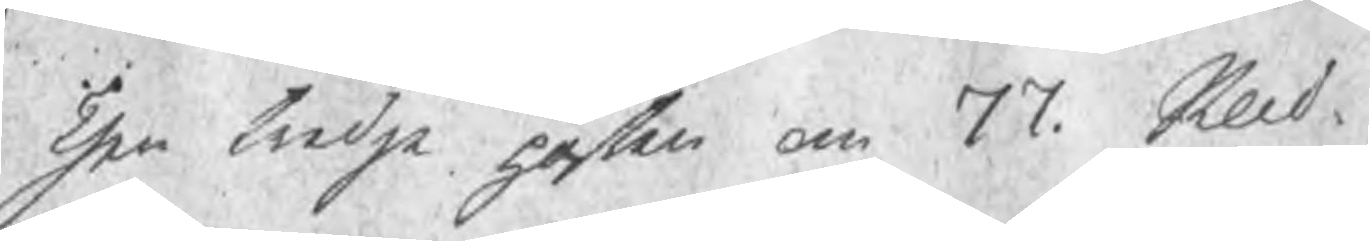Then tredje posten om 77 Sknd
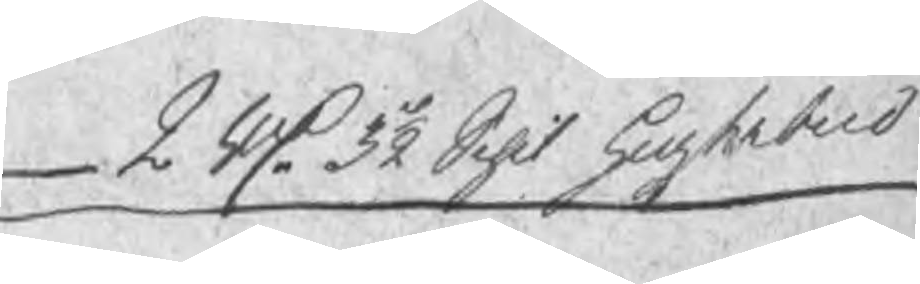2 Rd 3½ Schil hogsta bud
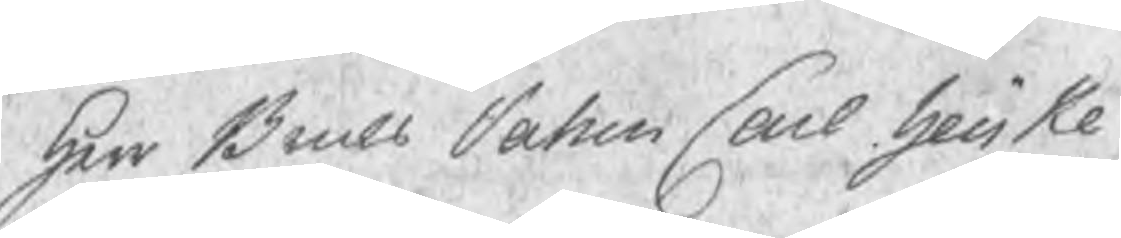Herr Bruks Patron Carl Heijke
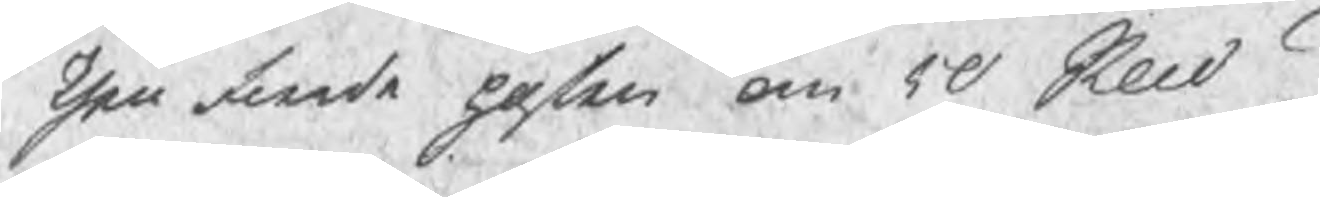Then fierde posten om 50 Sknd.
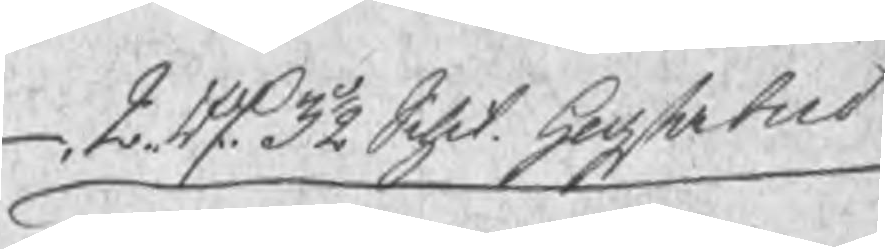2 Rd 3½ Schil. hogsta bud
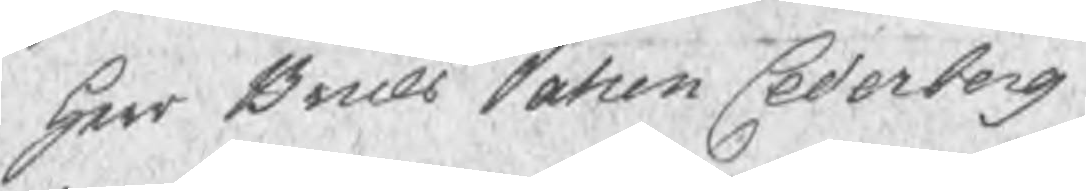Herr Bruks Patron Cederborg
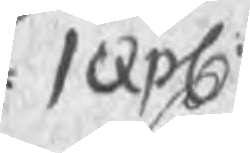1 Expl
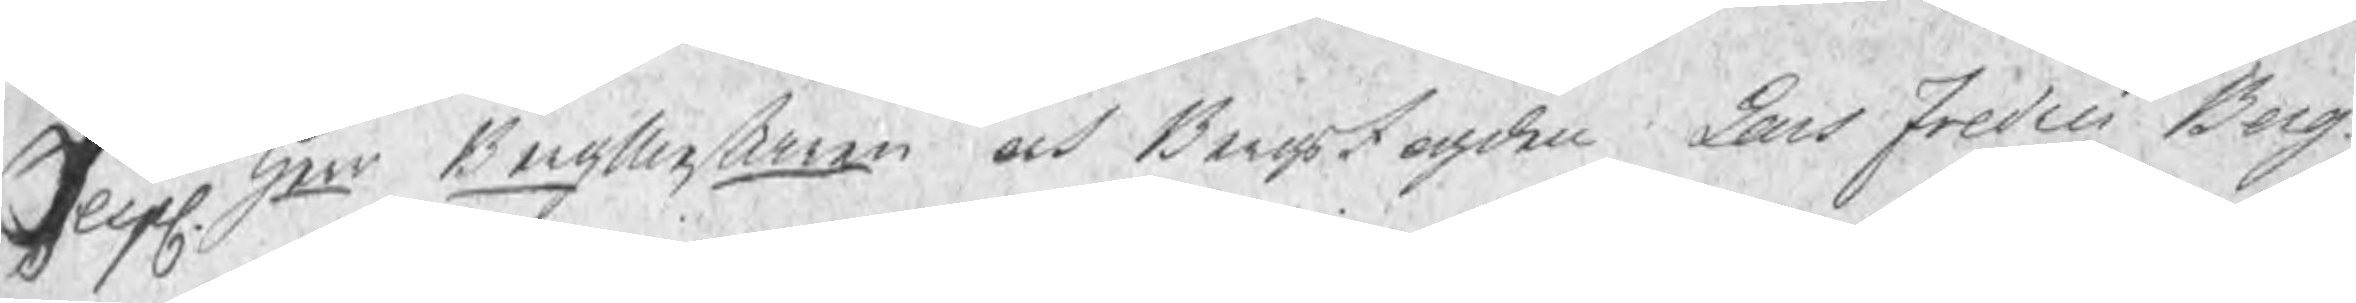1 expl Herr Bergmestaren och Bergsfogden Lars Fredric Berg¬
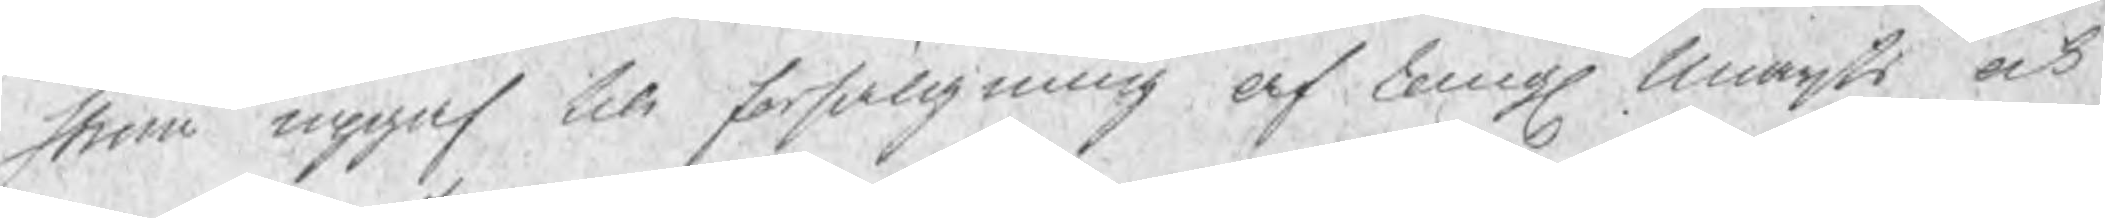strom upgaf till forsäljning af Kongl Maijts och
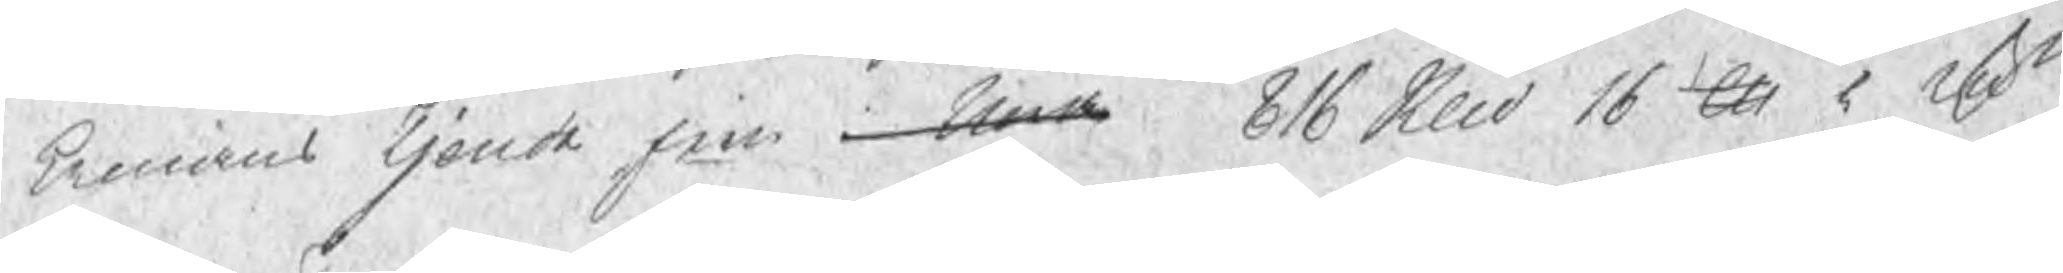kronans Tjonde jern i Nora 816 Sknd 16 lu 5 rsn
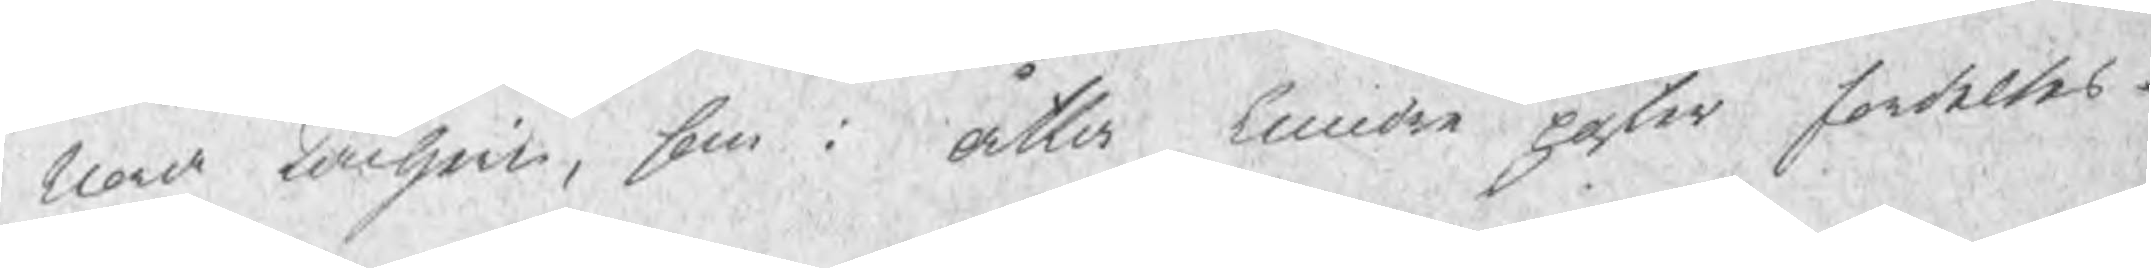Nora Tackjern, som i åtta mindre poster fordeltes
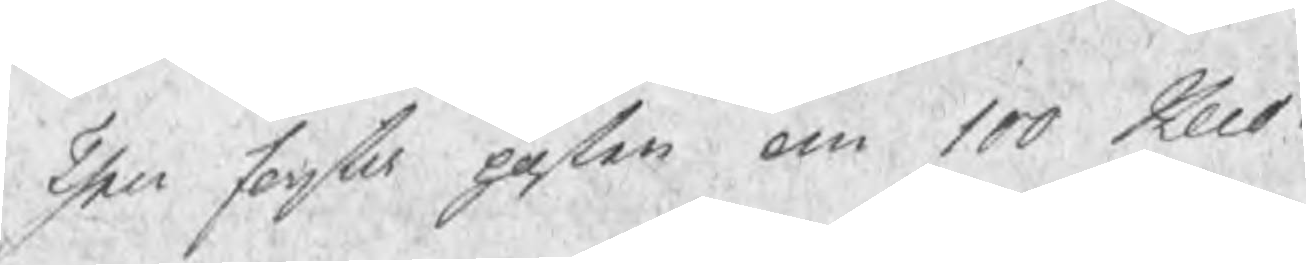Then forsta posten om 100 Sknd
